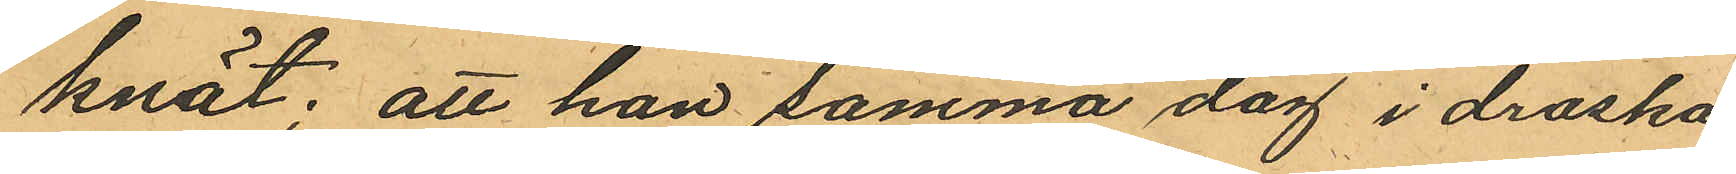knät; att han samma dag i droska
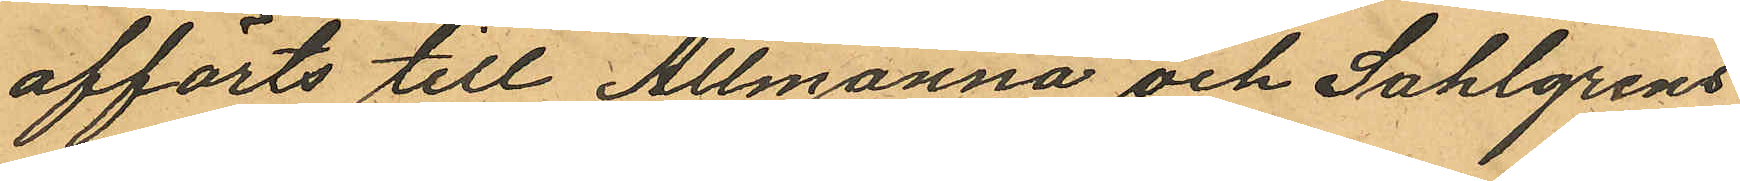afförts till Allmänna och Sahlgrens
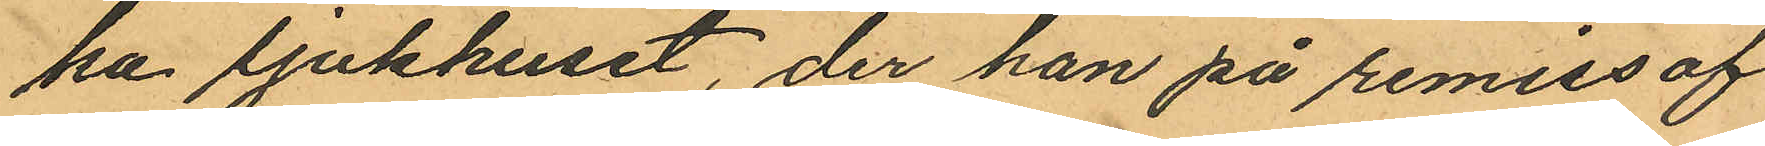ka sjukhuset, der han på remiss af
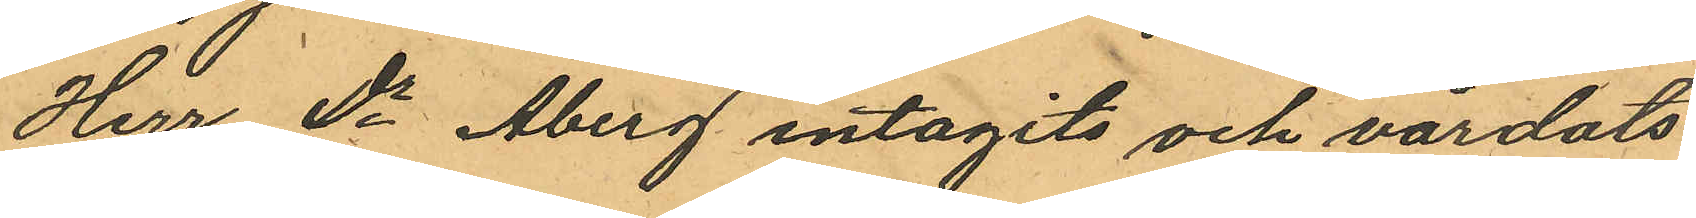Hurr Dr Åberg intagits och vårdats
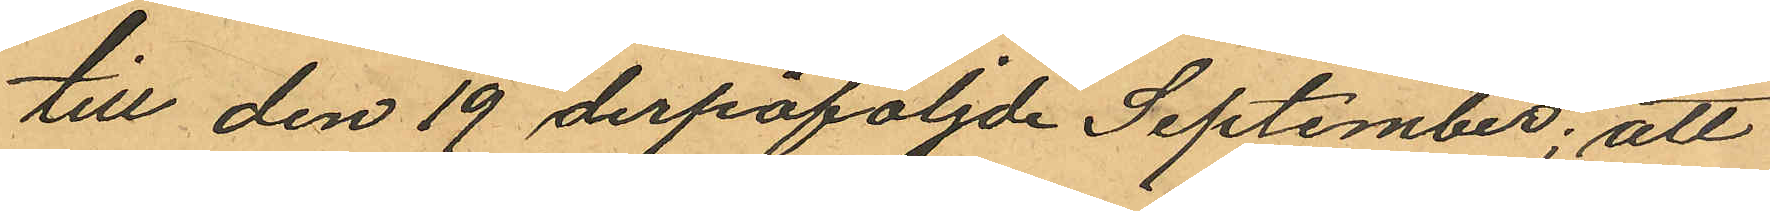till den 19 derpåföljde September; att
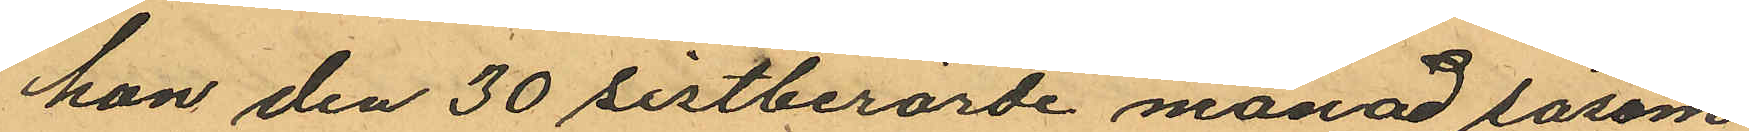han den 30 sistberörde månad såsom
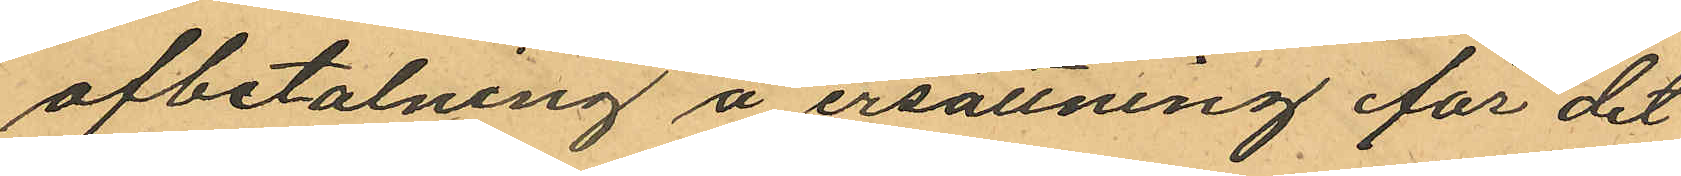afbetalning å ersättning för det
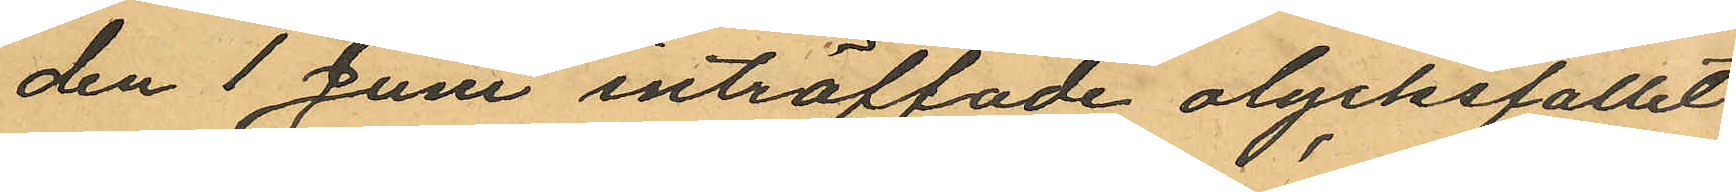den 1 Juni inträffade olycksfallet
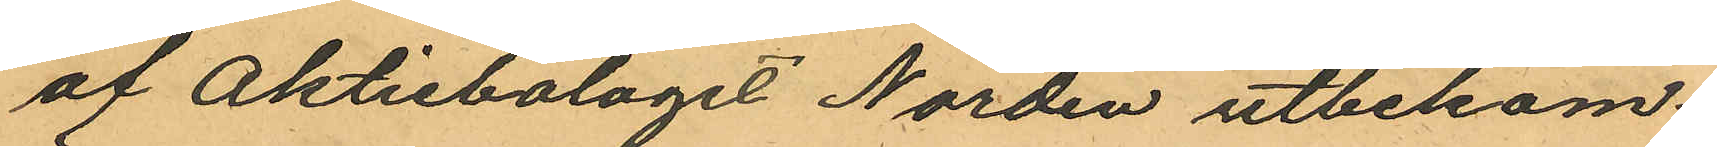af Aktiebolaget Norden utbekom¬
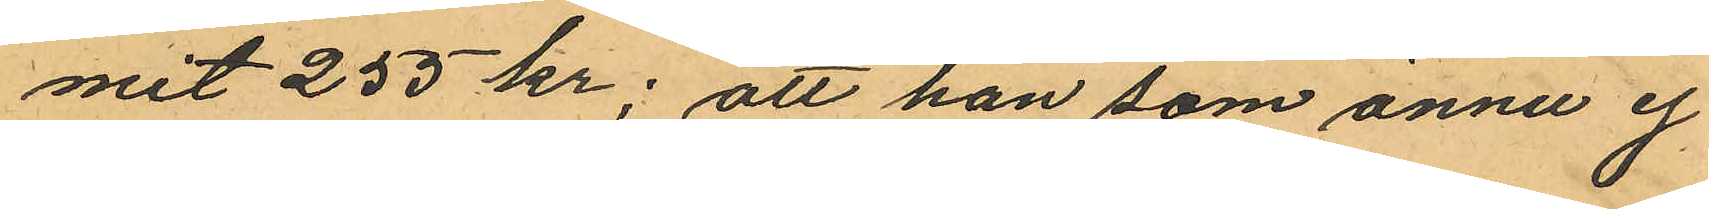mit 255 kr; att han som ännu ej
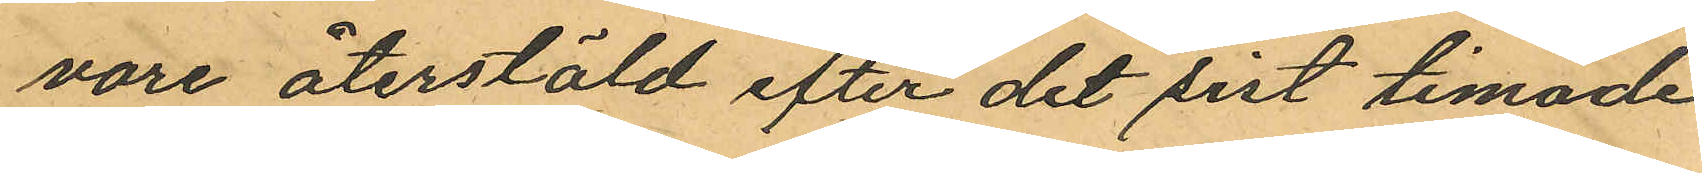vore återstäld efter det sist timade
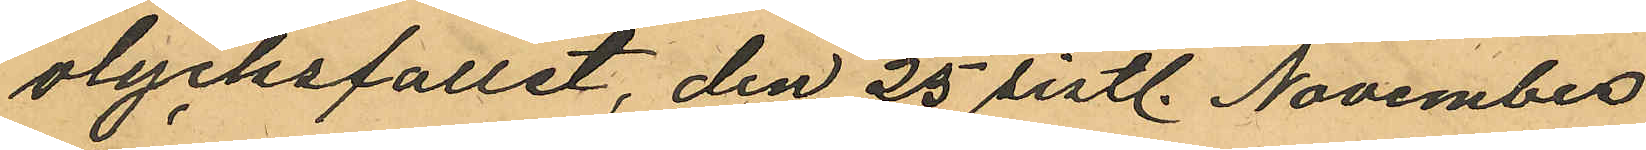olycksfallet, den 25 sistl. November
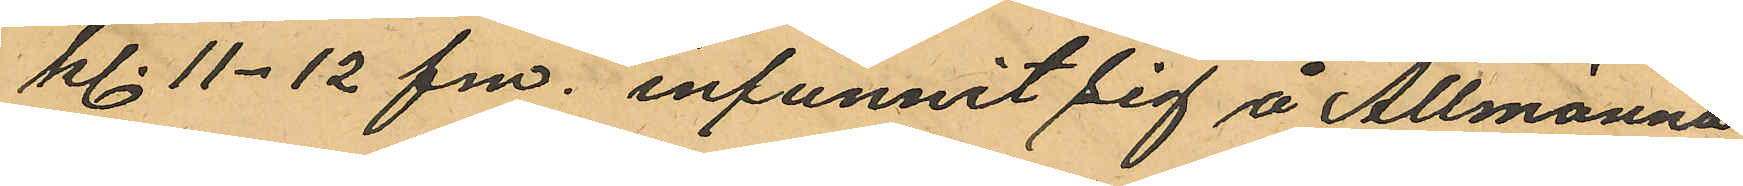kl. 11-12 fm. infunnit sig å Allmänna
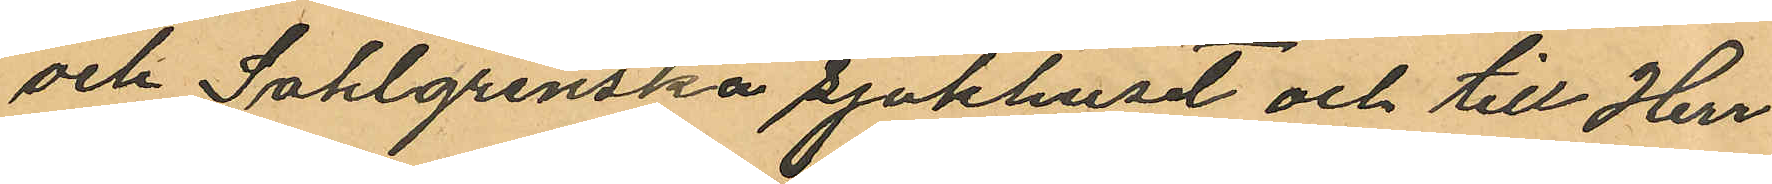och Sahlgrenska sjukhuset och till Herr
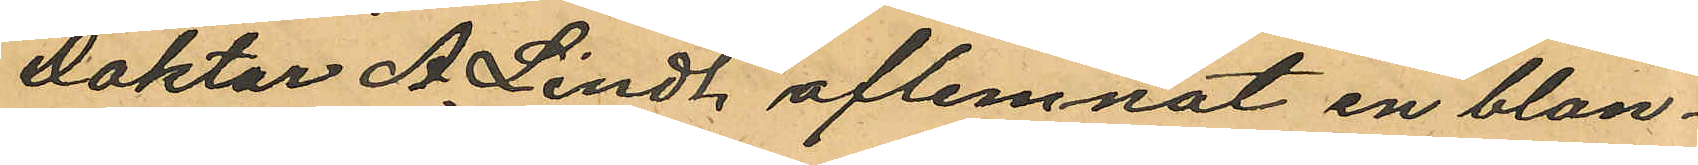Doktor A. Lindh aflemnat en blan¬
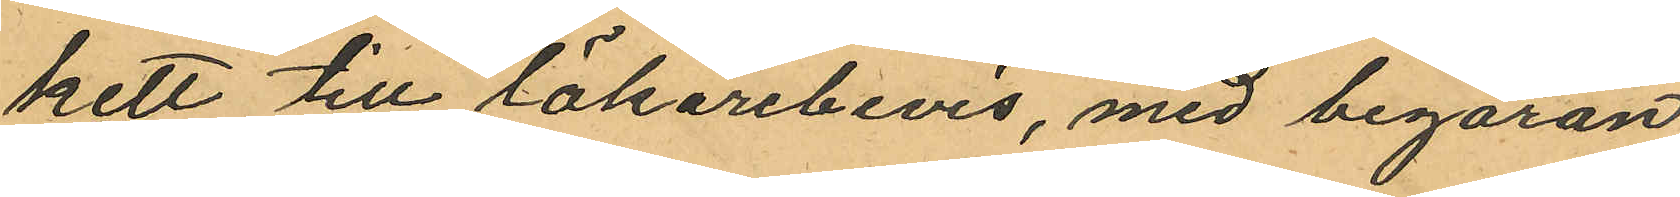kett till läkarebevis, med begäran
